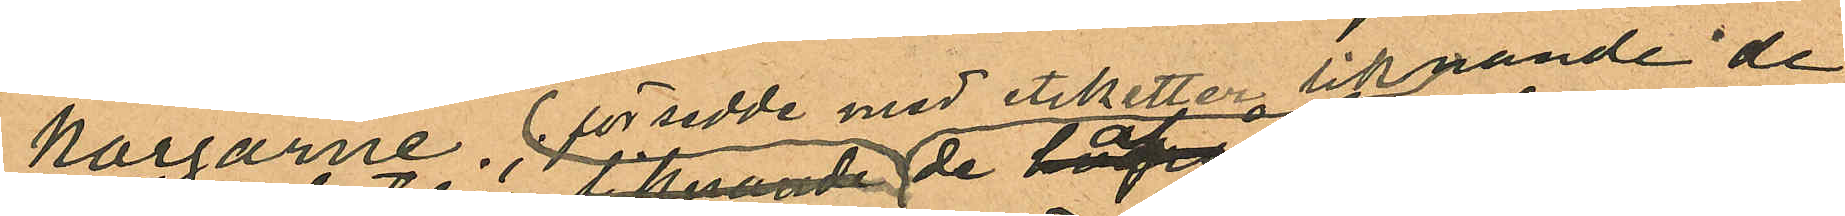korgarne, försedde med etiketter liknande de
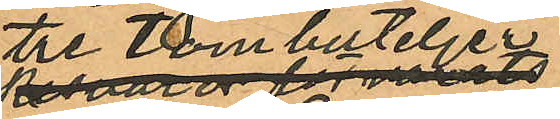tre tombuteljer
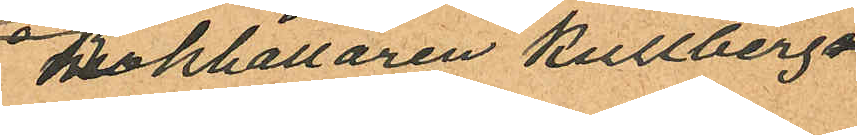Bokhållaren Kullbergs
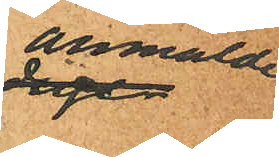anmälde
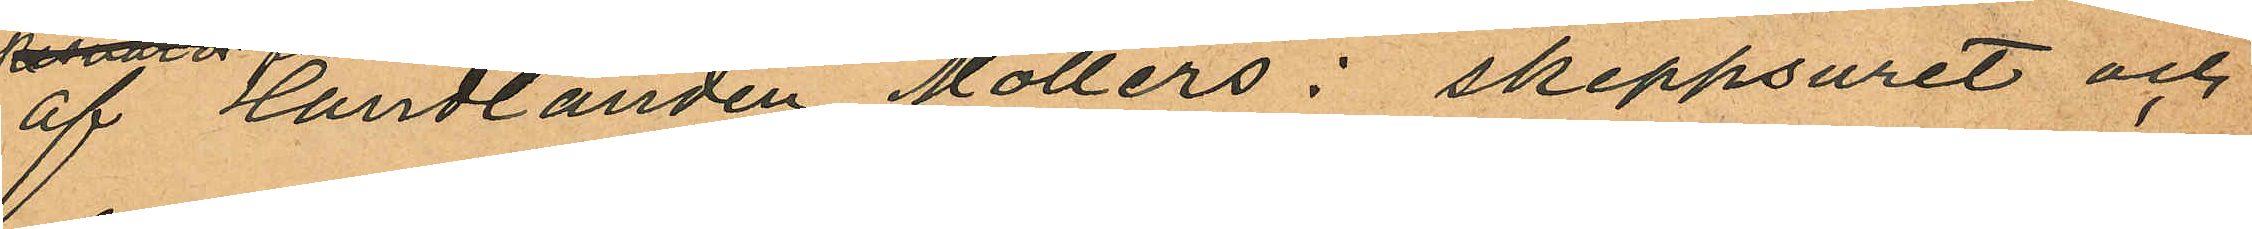af Handlanden Möllers: skeppsuret och
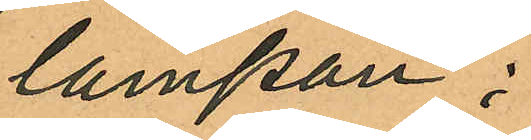lampan;
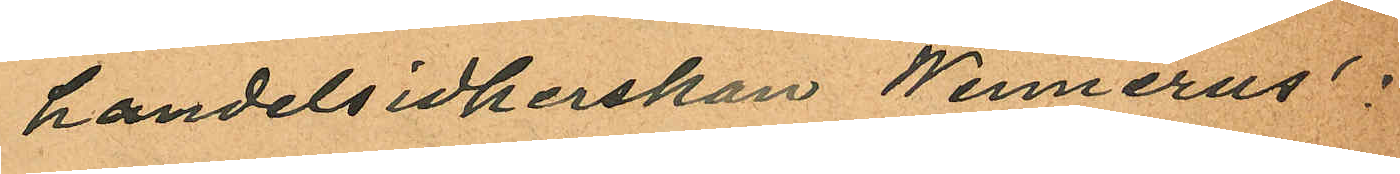handelsidkerskan Wennerus´ :
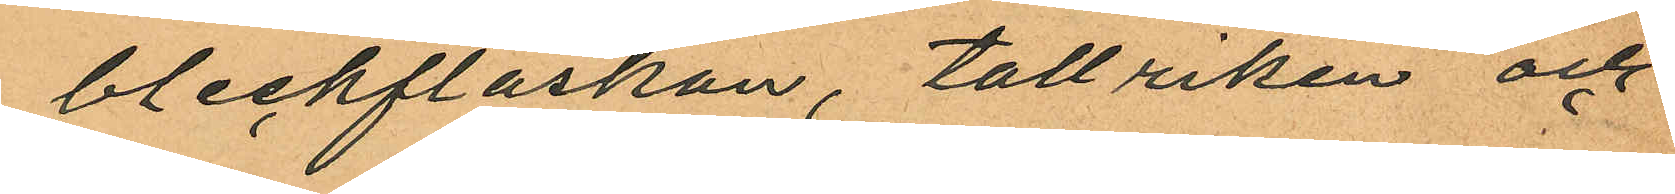bleckflaskan, tallriken och
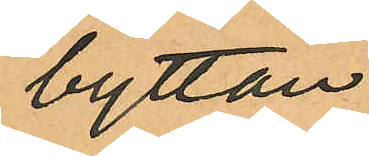byttan;
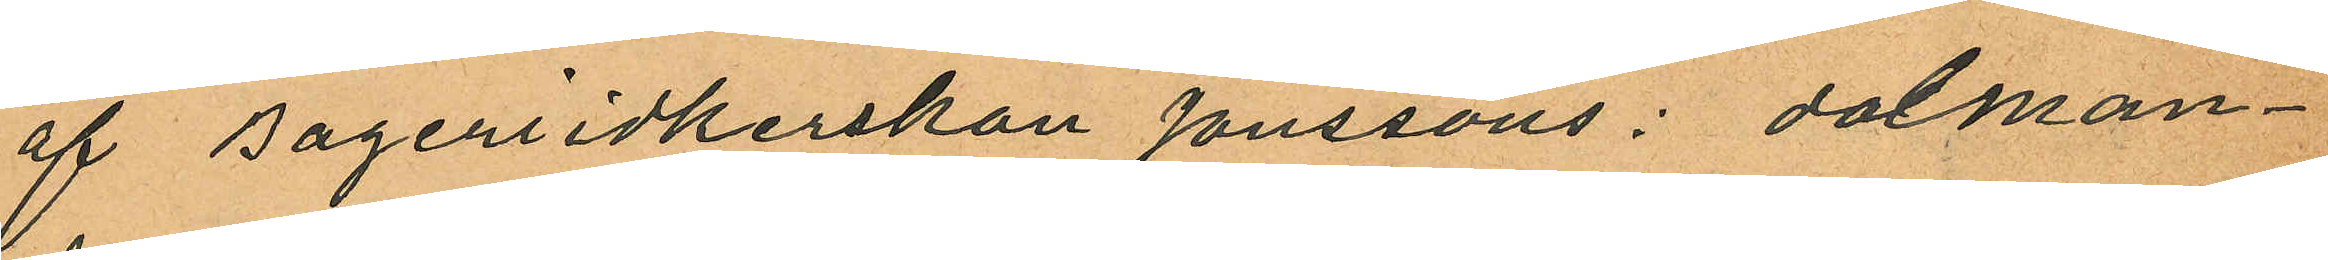af Bageriidkerskan Jönssons: dolman¬
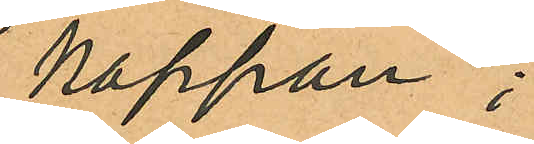kappan;
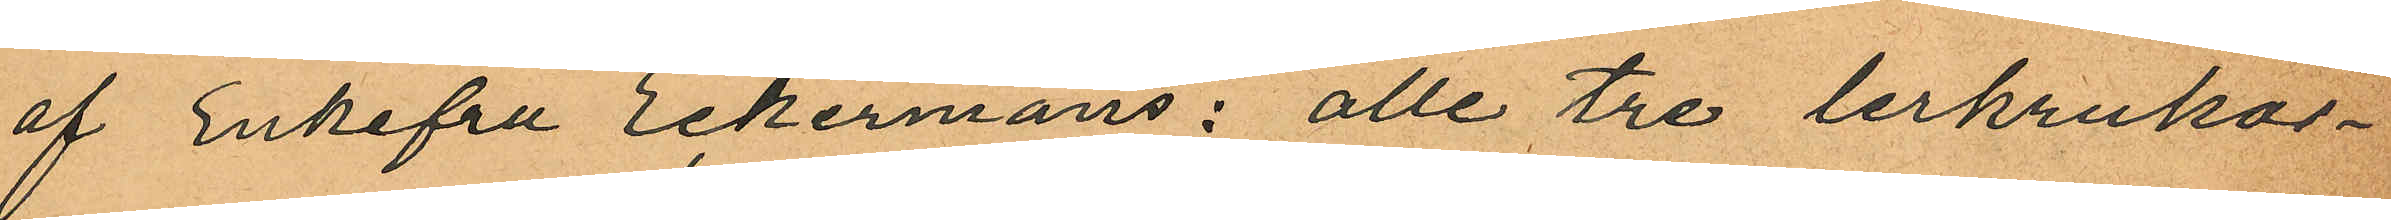af Enkefru Eckermans: alle tre lerkrukor¬
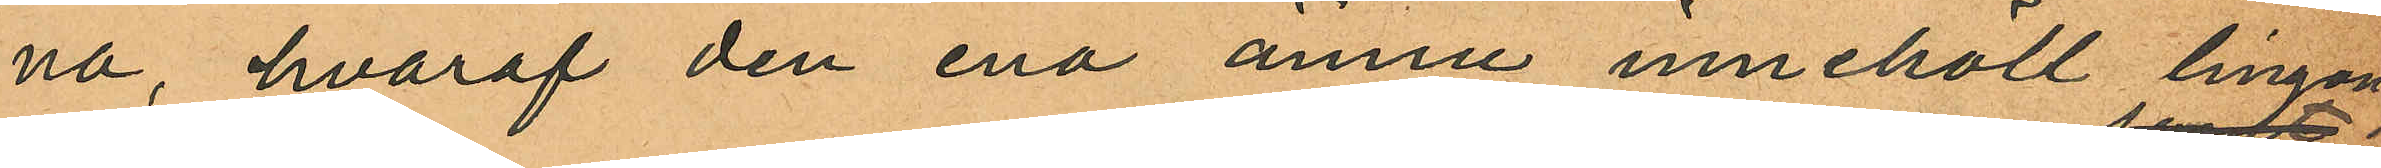na, hvaraf den ena ännu innehöll lingon;
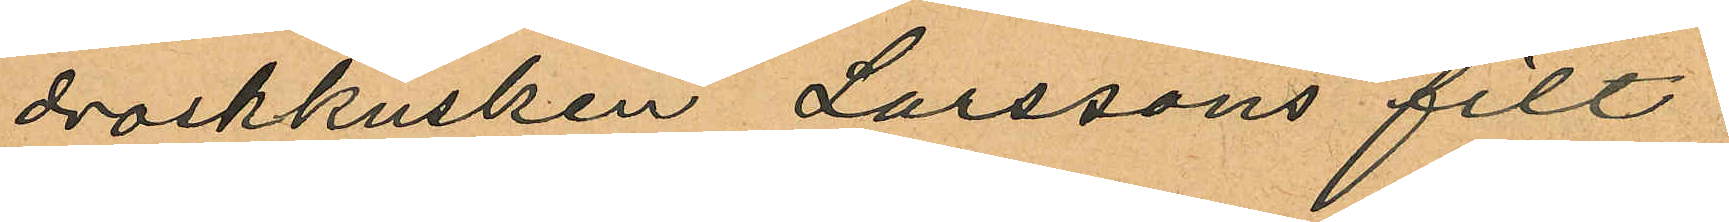droskkusken Larssons filt
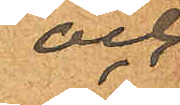och
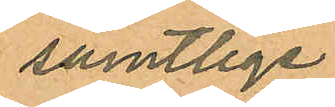samtlige
